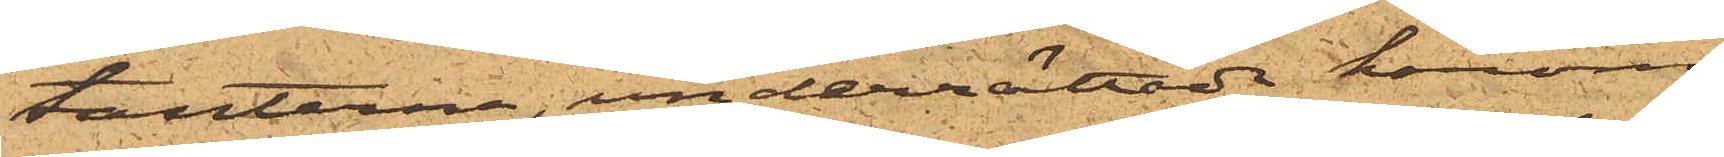tanterna, underrättade härom,
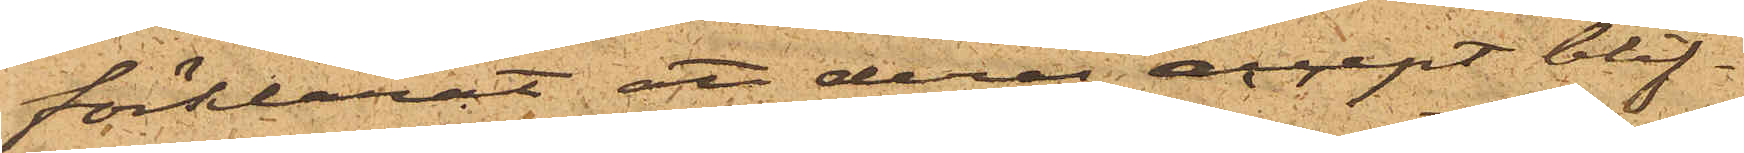förklarat att deras accept blif¬
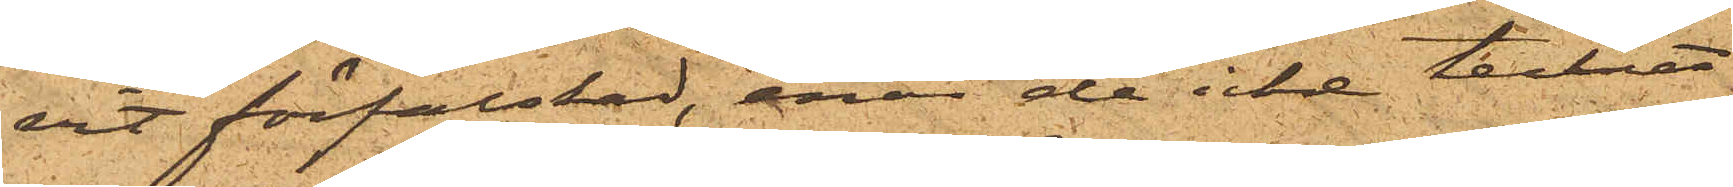vit förfalskad, enär de icke tecknat
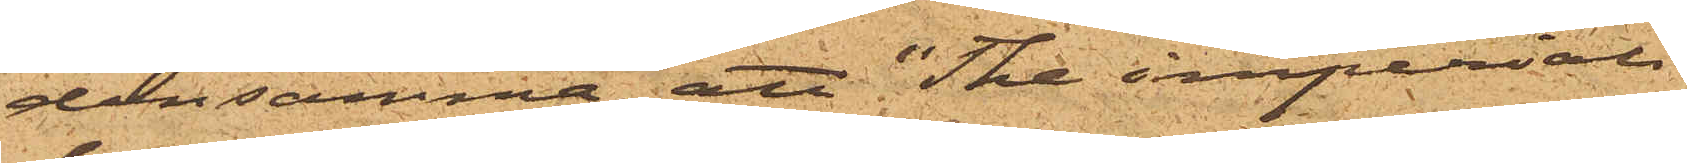densamma; att "The imperial
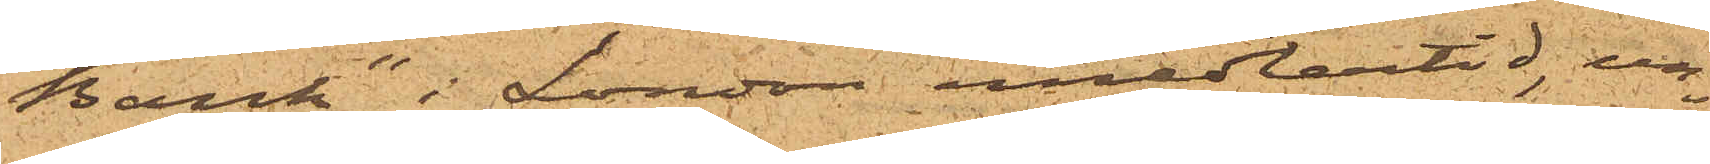Bank" i London emedlertid, un¬
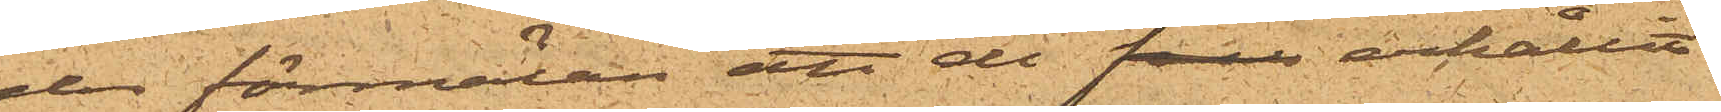der förmälan att de har erhållit
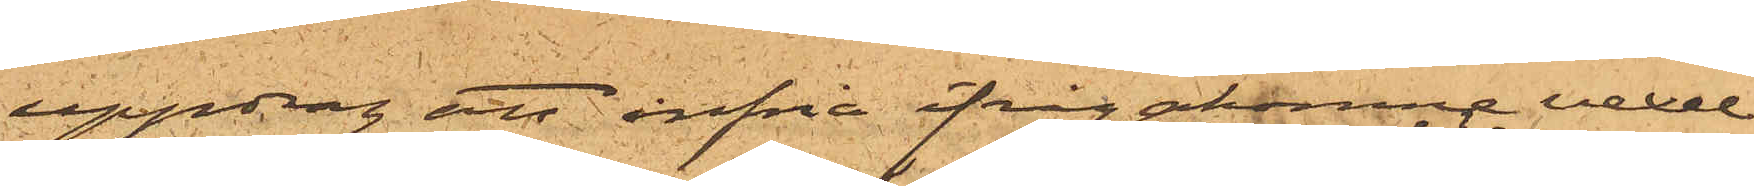uppdrag att infria ifrågakomne vexel
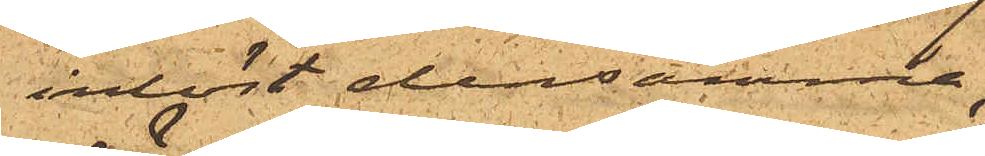inlöst densamma;
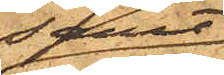samt
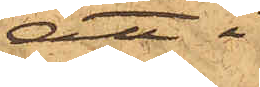att i
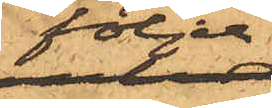följd
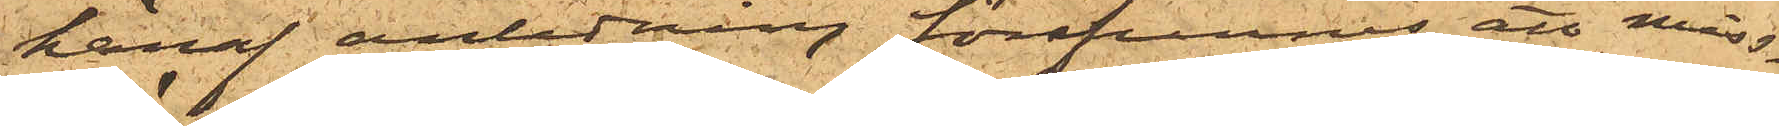häraf anledning förekommer att miss¬
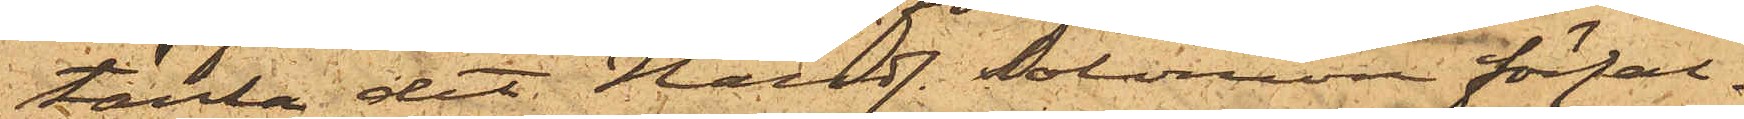tänka det Handl. Solomon förfal¬
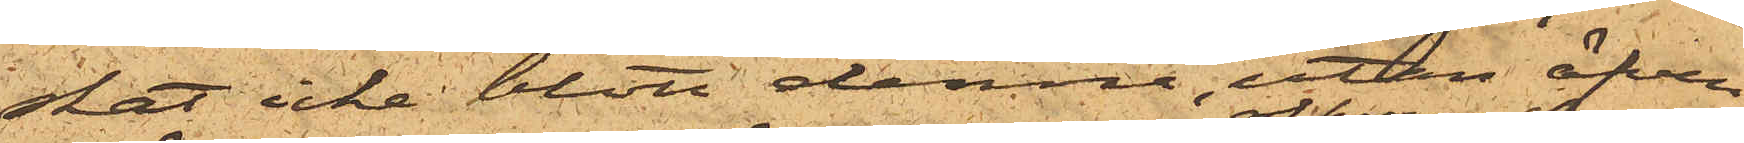skat icke blott denne, utan äfven
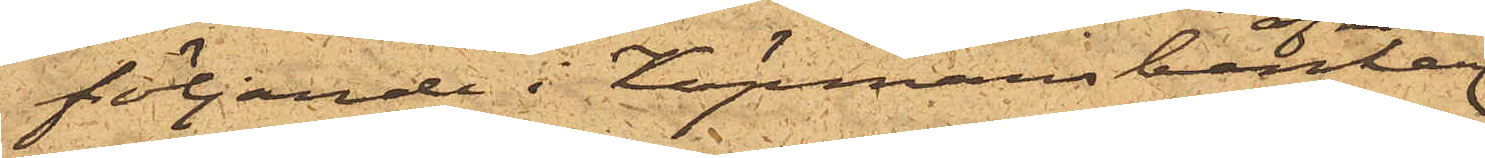följande i Köpmansbanken
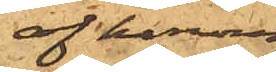af honom
